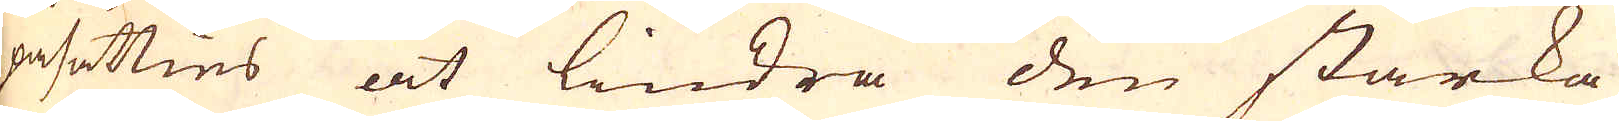påsätties at lindra den starka
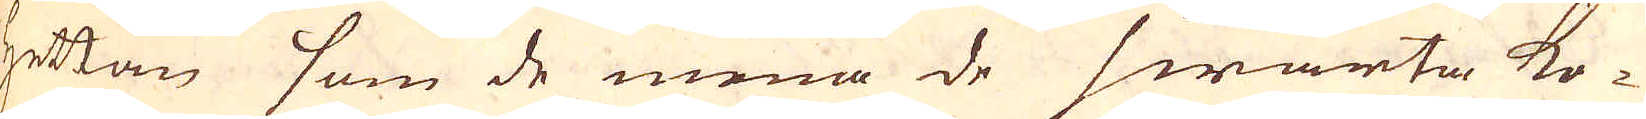hettan som de mena de swarta ko-
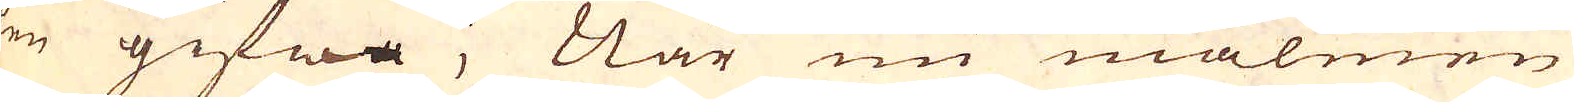len gifwa; När nu malmen
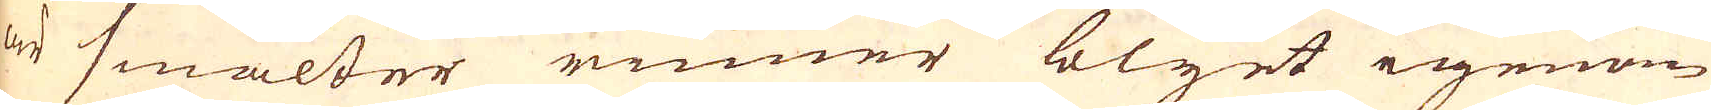är smälter rinner blyet igenom
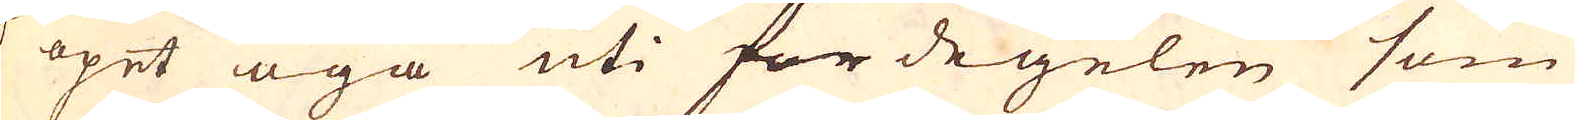et öpet öga uti fördegelen som
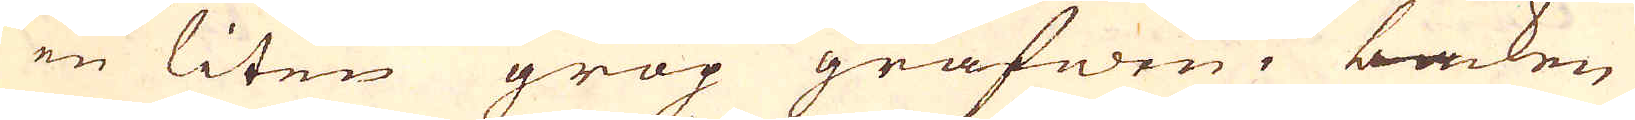är en liten grop grafwen i backen
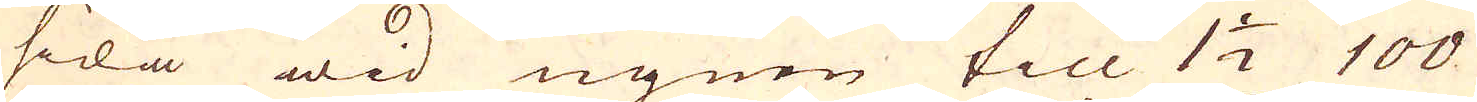på sida wid ugnen till 1 1/2 100
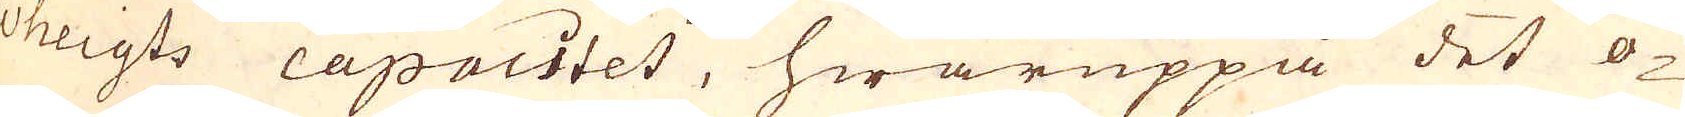weigts capacitet, hwaruppå det ö-
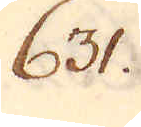631.
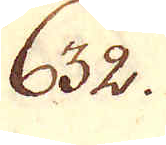632.
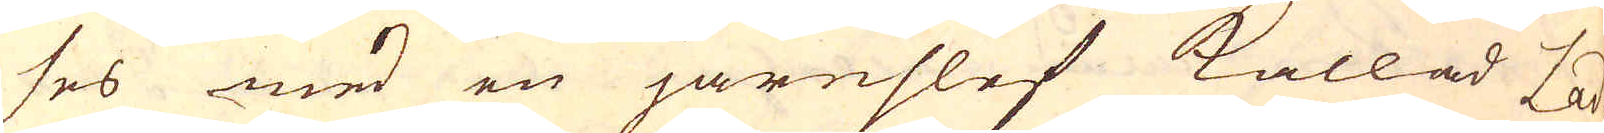ses med en järnslef kallad Lad-
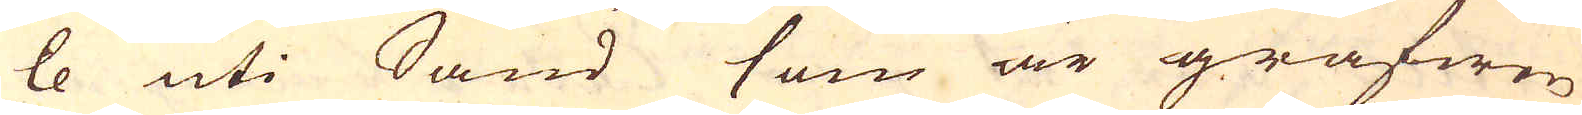le uti Sand som är gräfwen
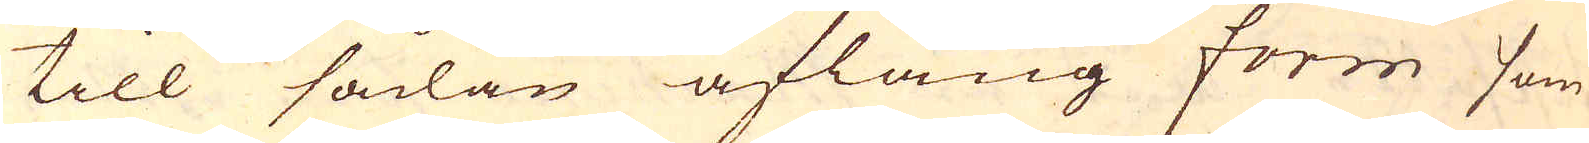till sådan aflång form som
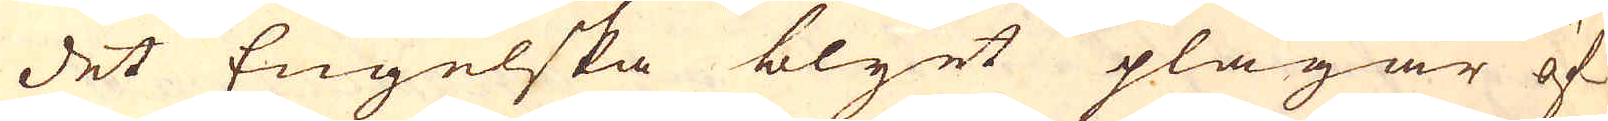det Engelska blyet plägar öf-
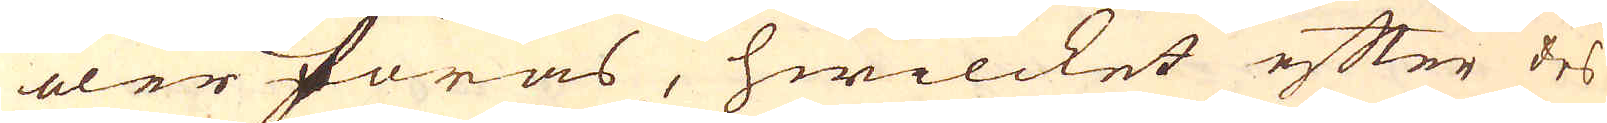eler föras, hwilcket efter des
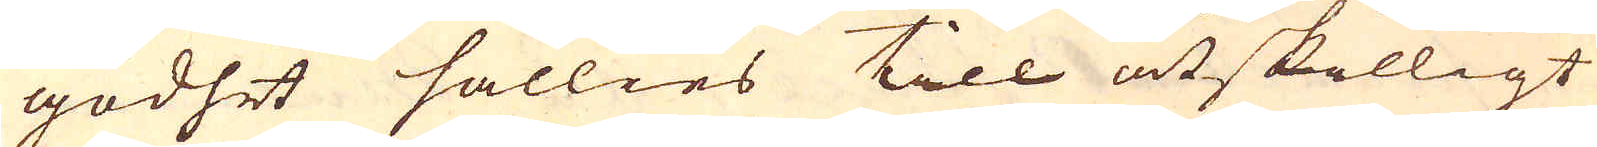godhet sällies till åtskilligt
